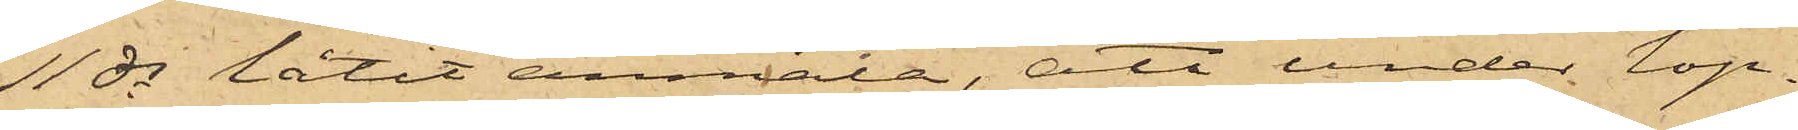11 ds låtit anmält, att under lop¬
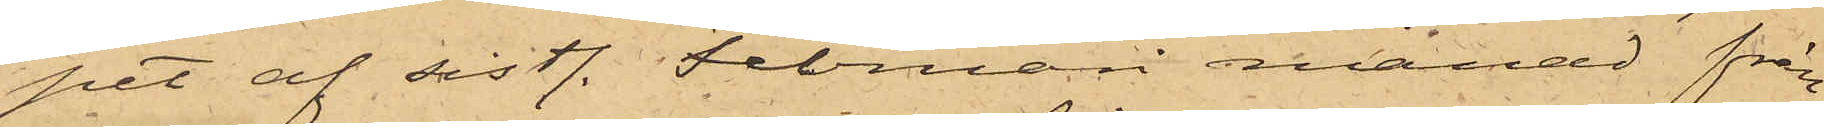pet af sistl. Februari månad från
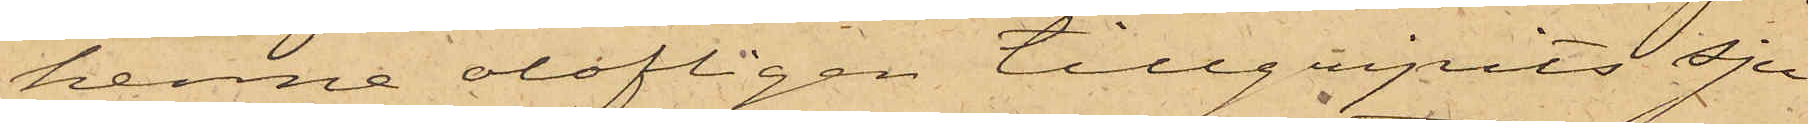henne olofligen tillgripits sju
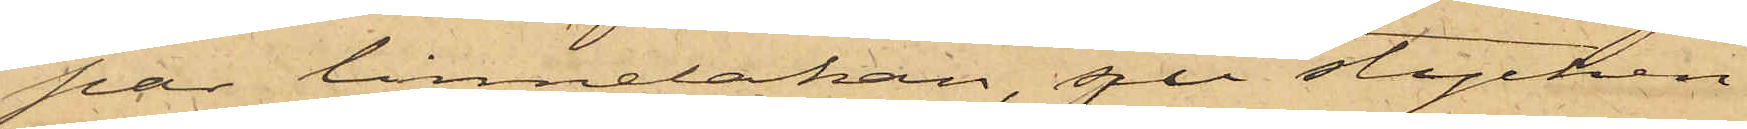par linnelakan, sju stycken
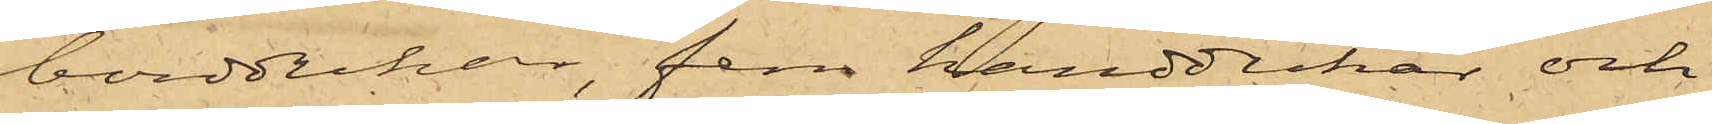borddukar, fem handdukar och
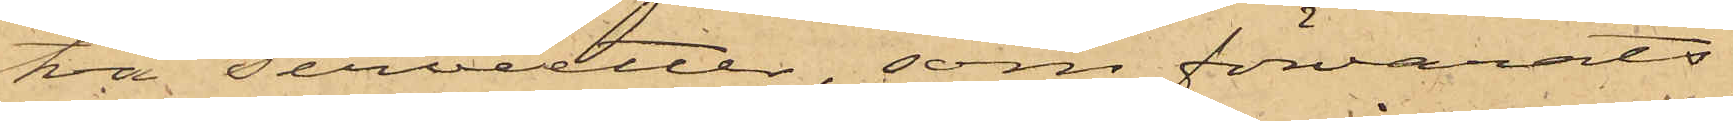två servietter, som förvarats
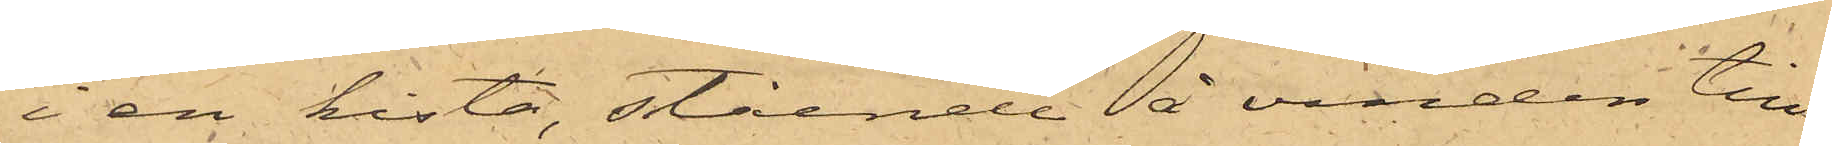i en kista, stående å vinden till¬
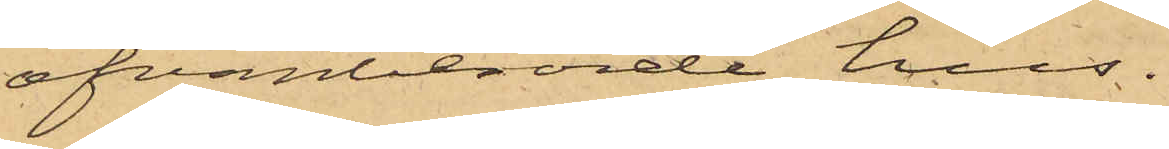ofvanberörde hus.
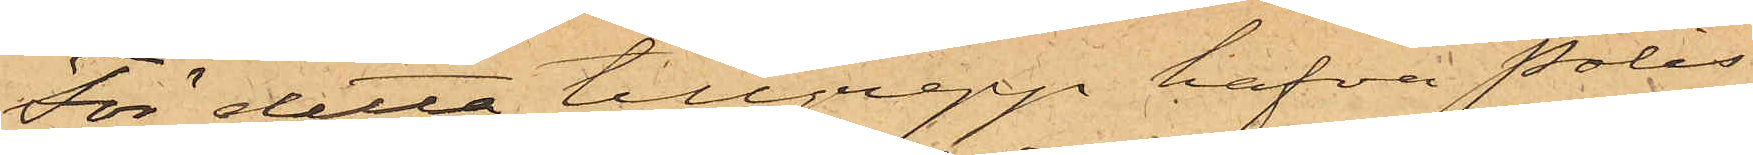För detta tillgrepp hafva Polis¬
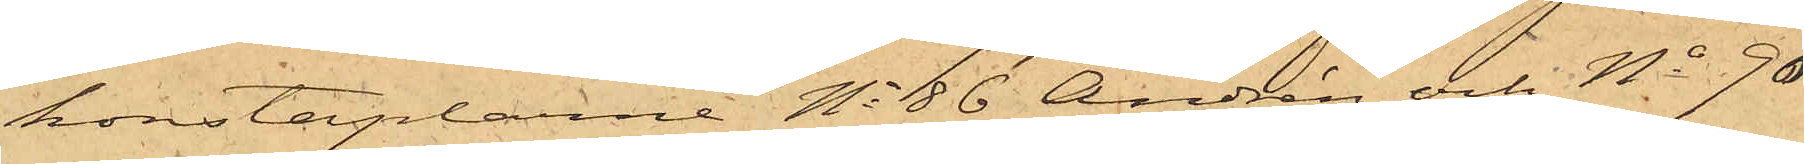konstaplarne No 86 Andrén och No 90
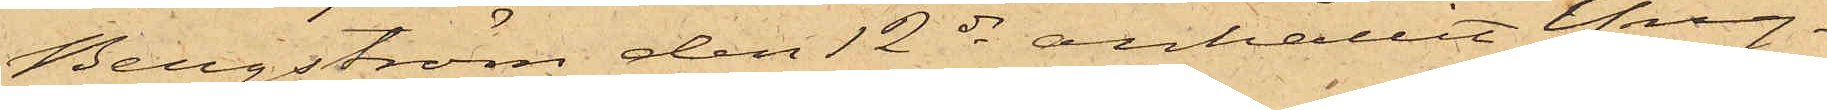Bergström den 12 ds anhållit Yng¬
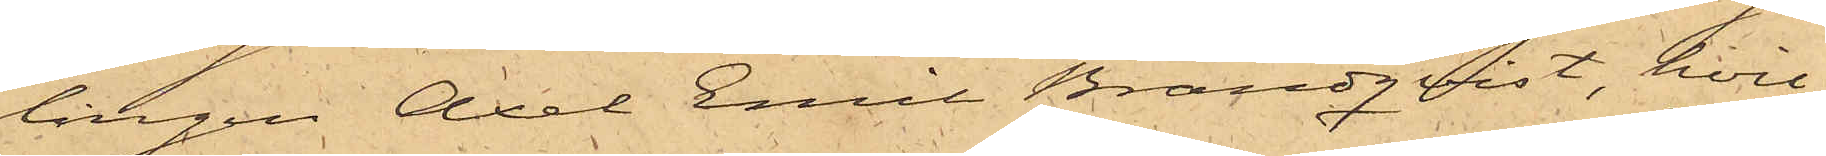lingen Axel Emil Brandqvist, hvil¬
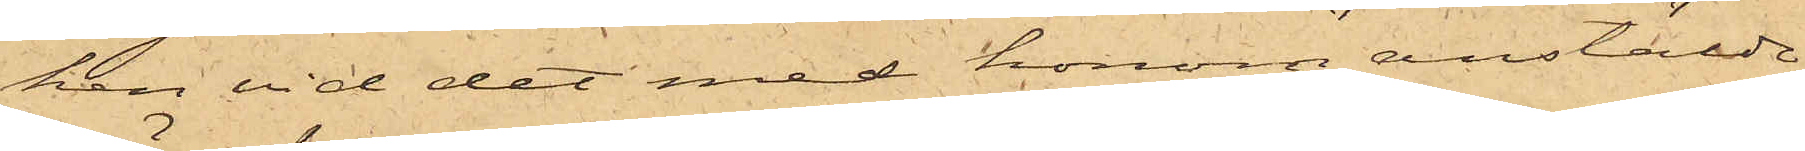ken vid det med honom anstälde
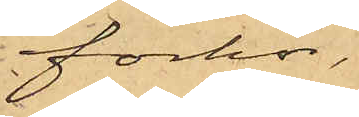förhör,
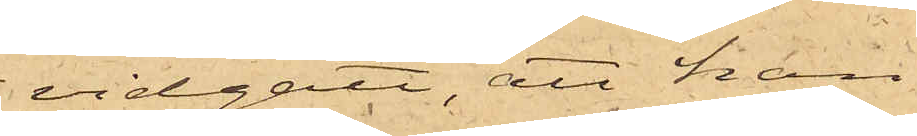vidgått, att han
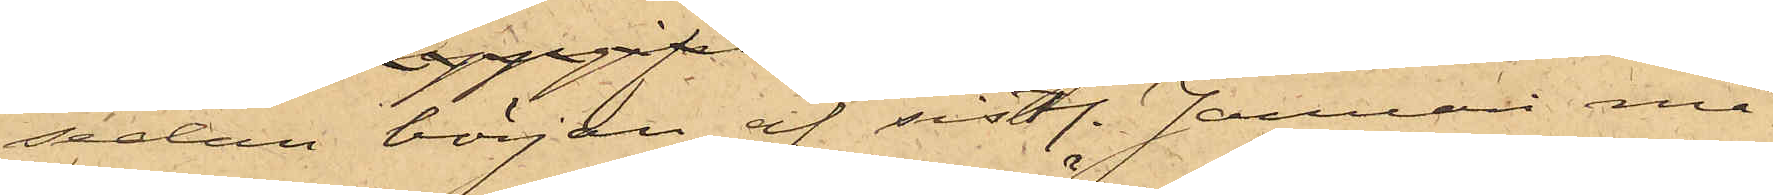sedan början af sistl. Januari må¬
